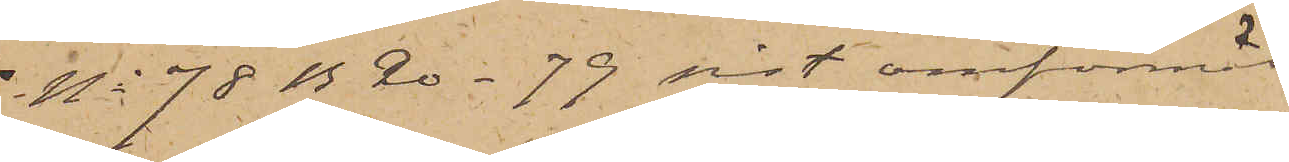No 78 B 20 - 79 sist omförmäl¬
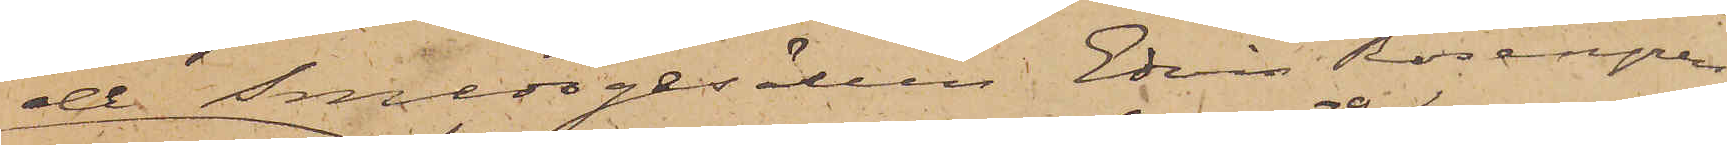de Smedsgesällen Edvin Rosengren
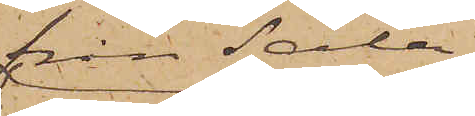från Sala
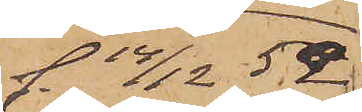f. 14/12 52
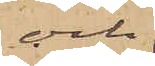och
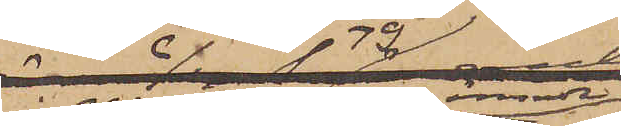i No 150 D omnämnde
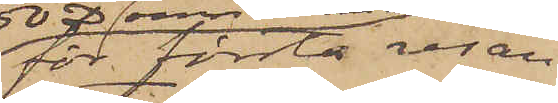för första resan
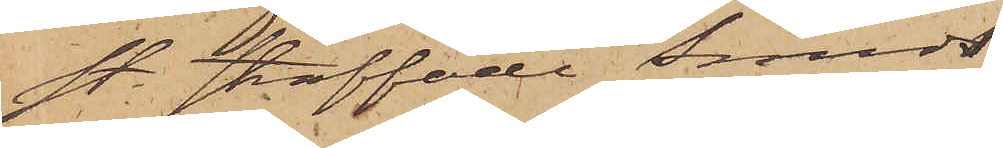st. straffade Smeds¬
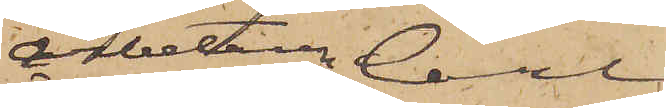arbetaren Carl
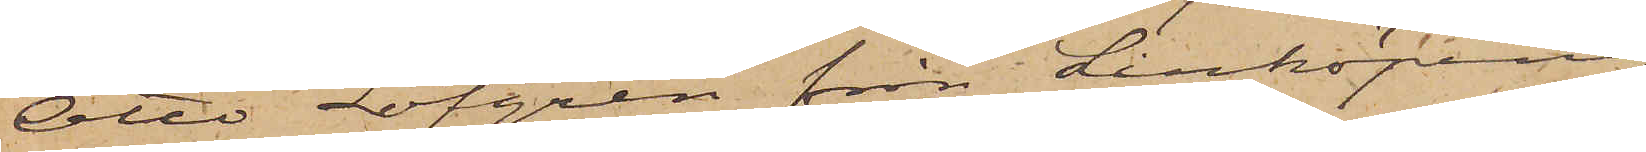Otto Löfgren från Linköping
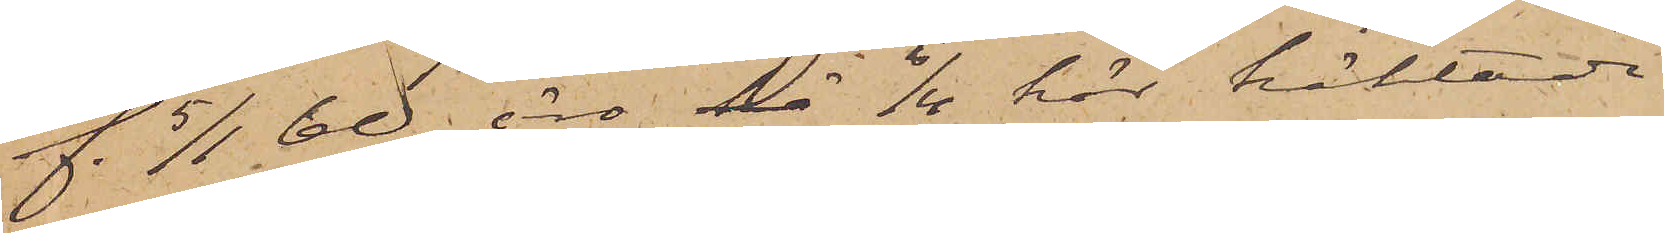f. 5/1 60 äro hä 6/4 här häktade
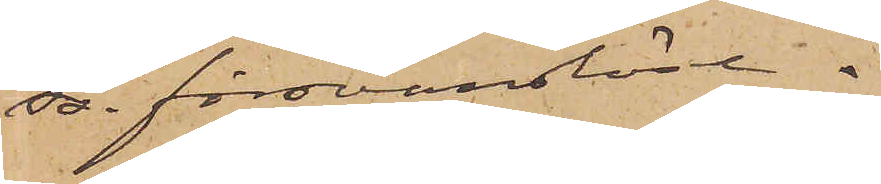ss. försvarslösa.
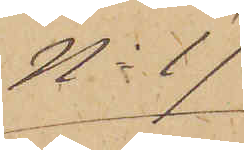No 17
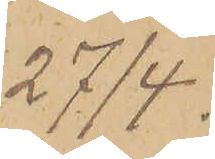27/4.
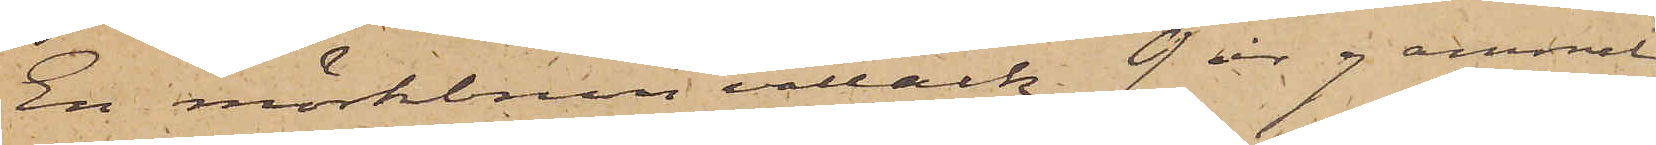En mörkbrun vallack 9 år gammal,
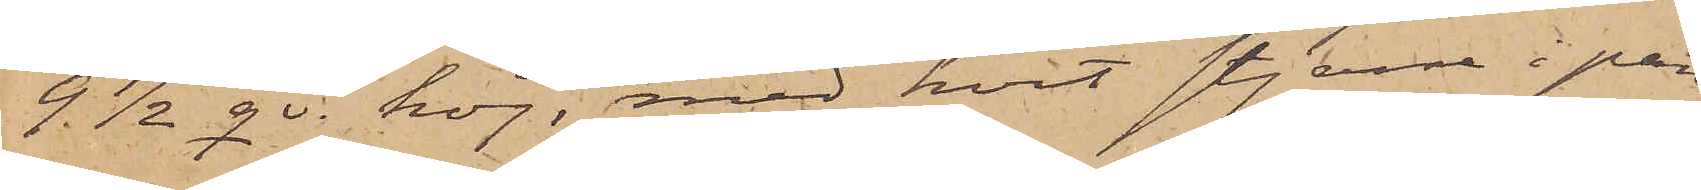9 1/2 qv. hög, med hvit stjerna i pan¬
